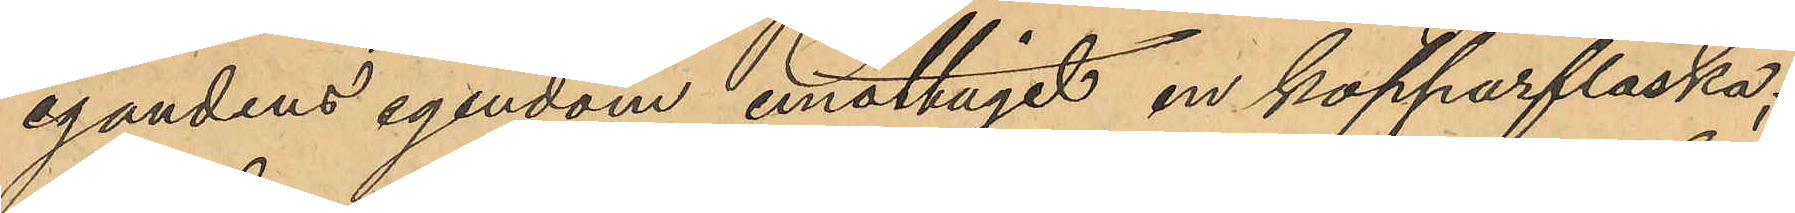egandens egendom, emottagit en kopparflaska;
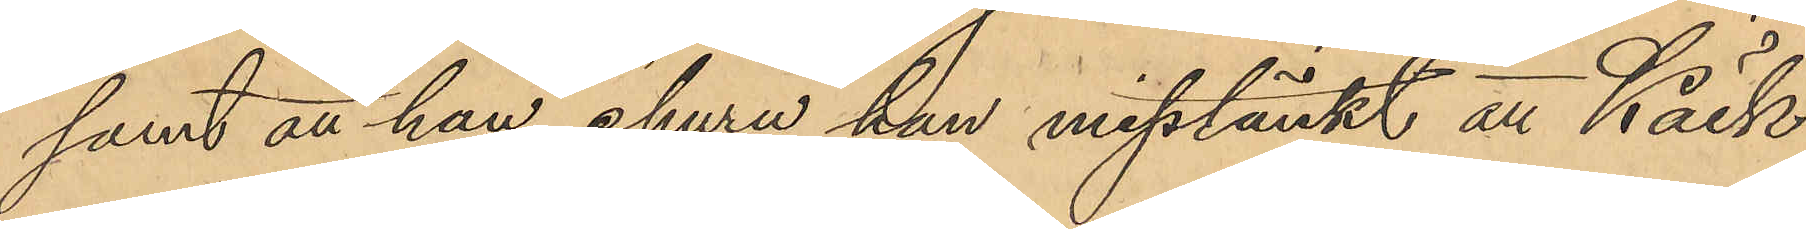samt att han, ehuru han misstänkt att Käck
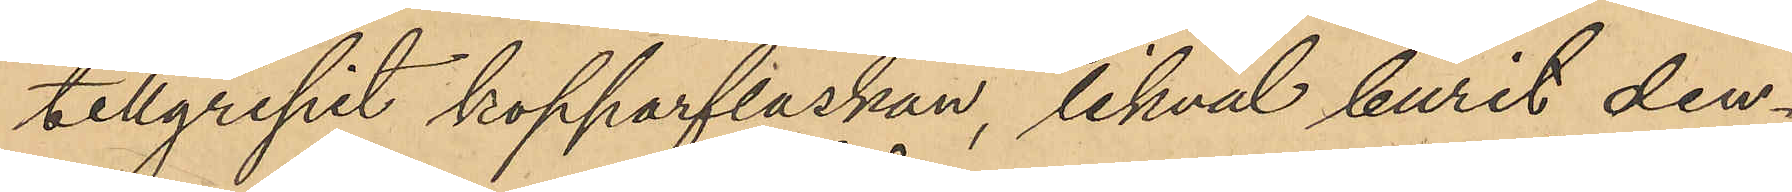tillgripit kopparflaskan, likväl burit den¬
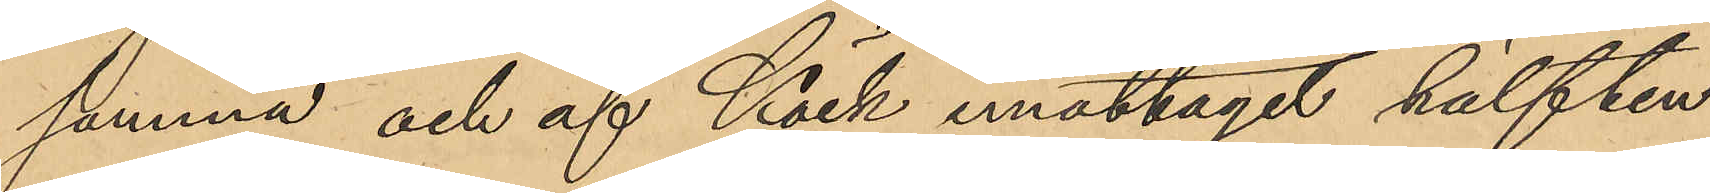samma och af Käck emottagit hälften
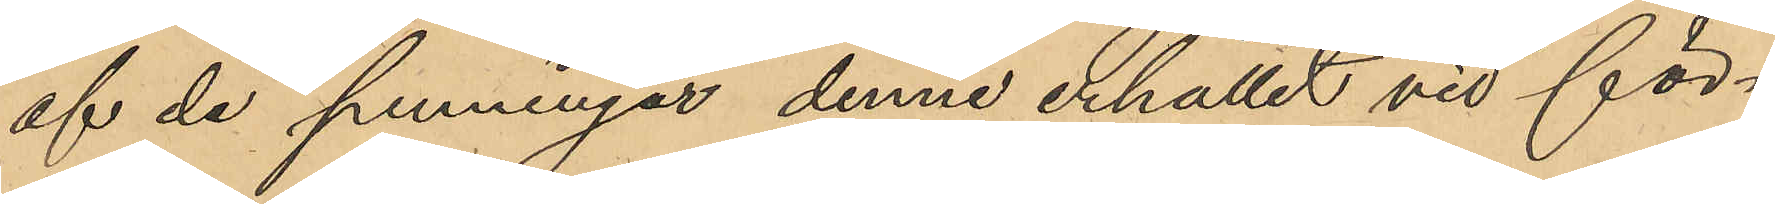af de penningar denne erhållit vid för¬
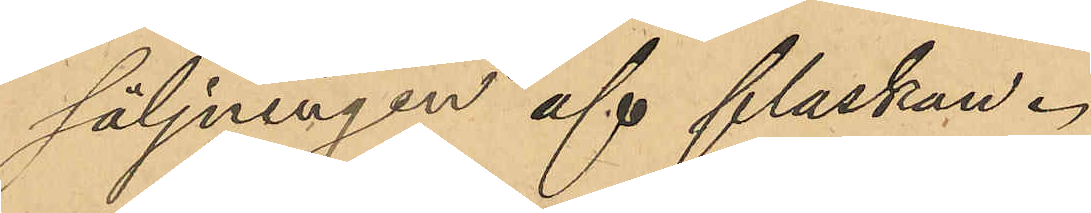säljningen af flaskan.
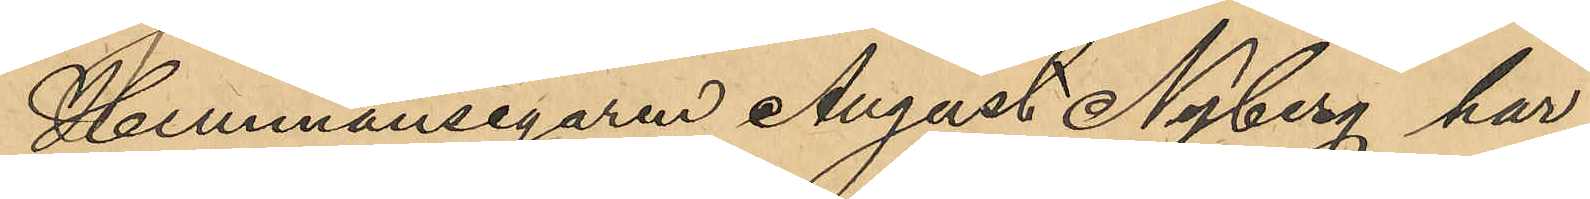Hemmansegaren August Nyberg har
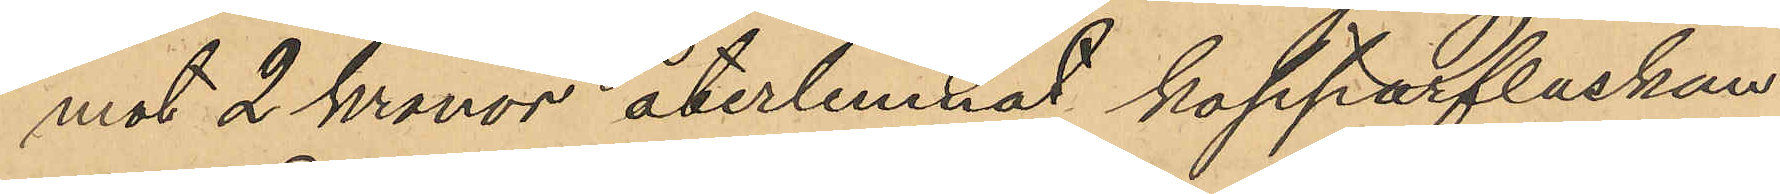mot 2 Kronor återlemnat kopparflaskan
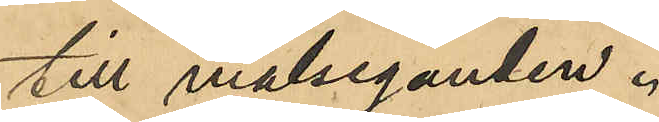till målseganden.
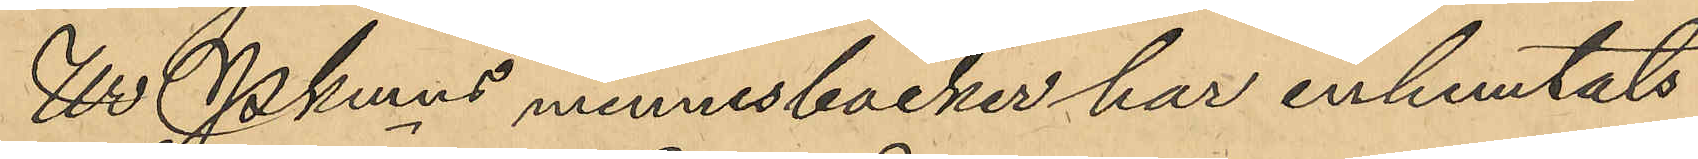Ur Pkmns minnesböcker har inhemtats
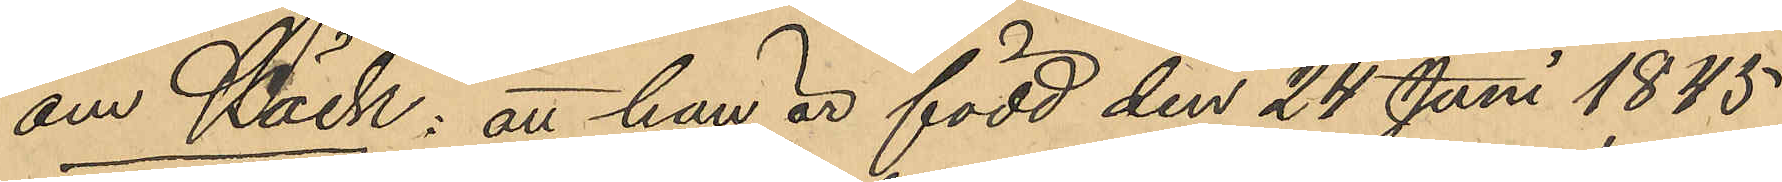om Käck: att han är född den 24 Juni 1845.
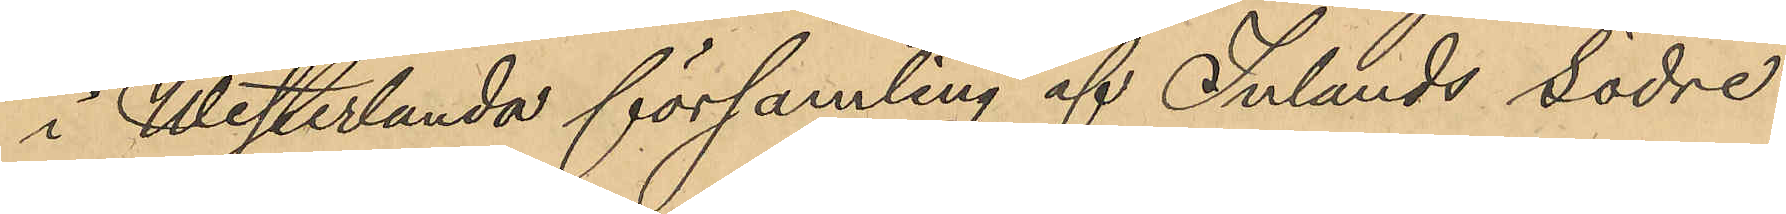i Westerlanda församling af Inlands södre
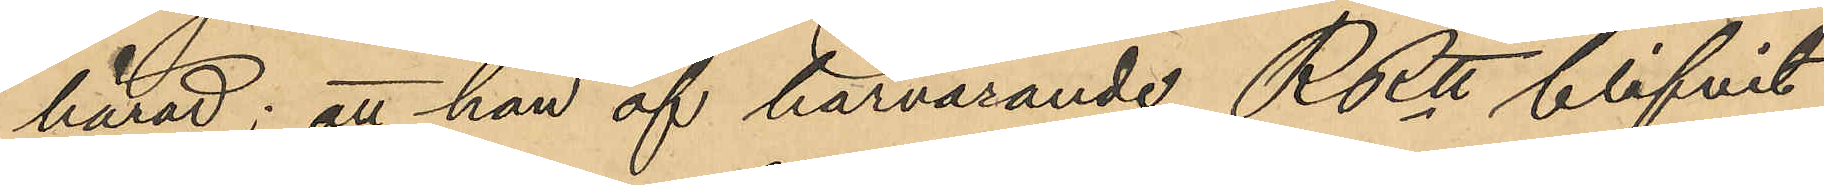härad; att han af härvarande RRtt blifvit
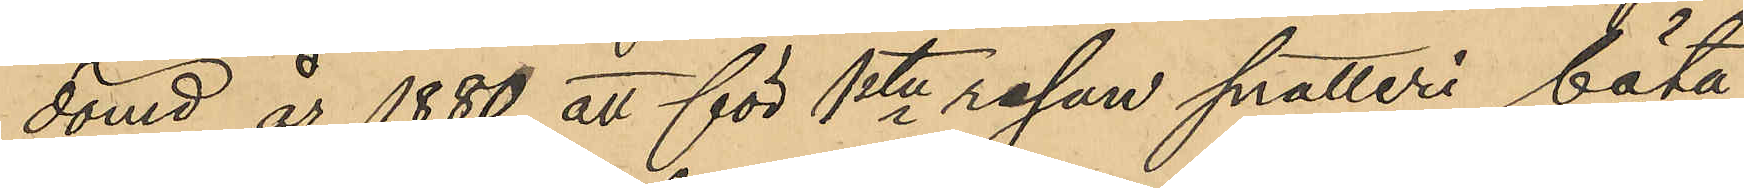dömd år 1880 att för 1ste resan snatteri böta
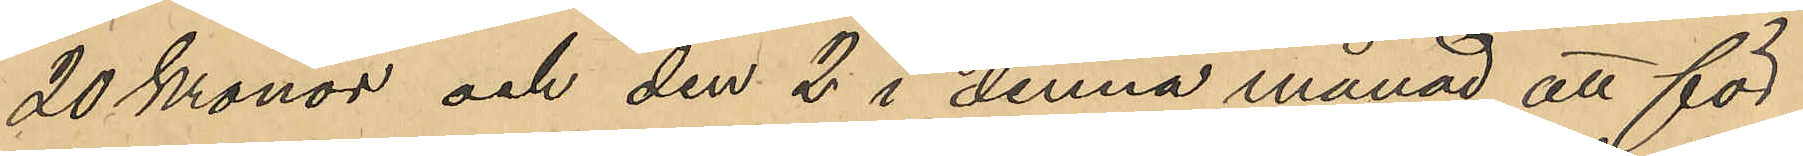20 Kronor och den 2 i denna månad att för
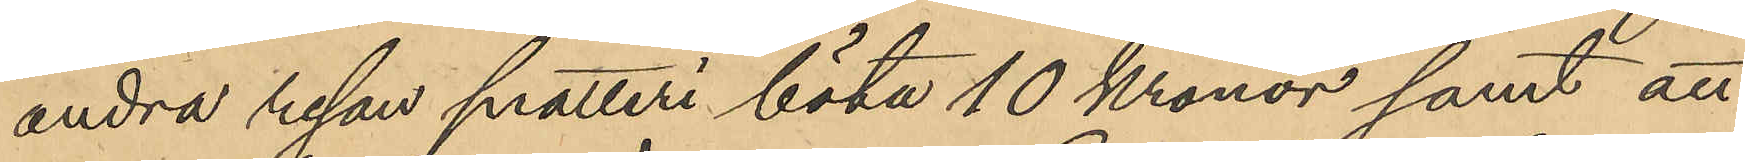andra resan snatteri böta 10 Kronor samt att
